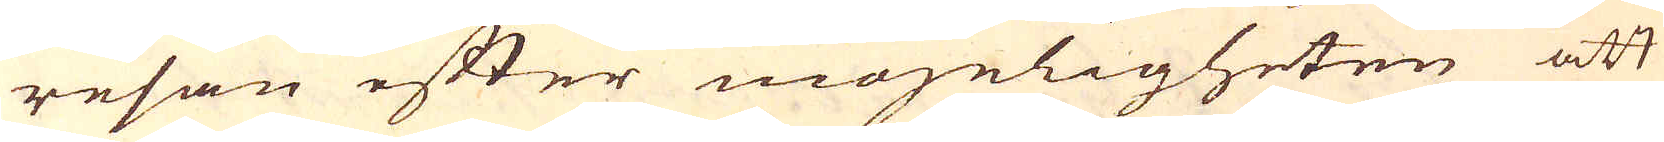resan efter mögeligheten att
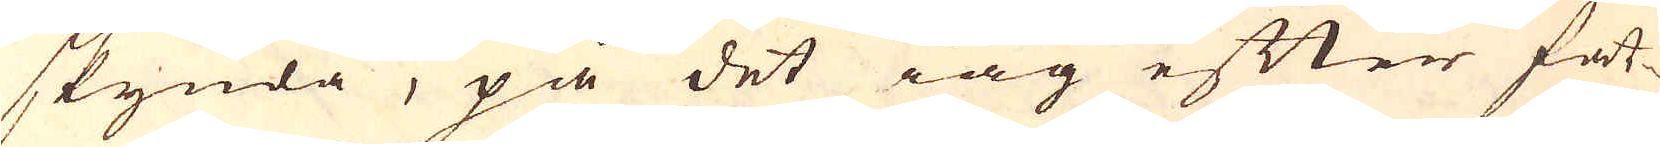skynda, på det iag efter fat-
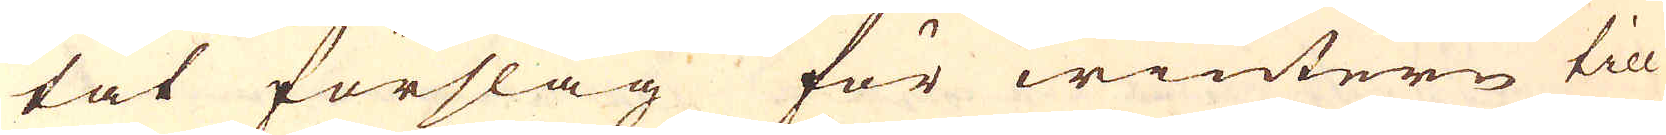tat förslag för wintern till
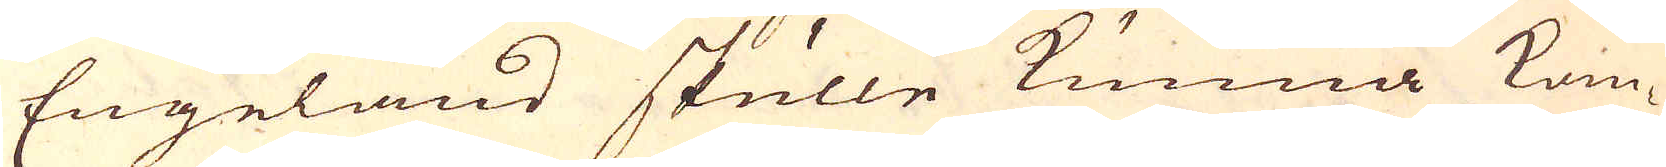Engeland skulle kunna kom-
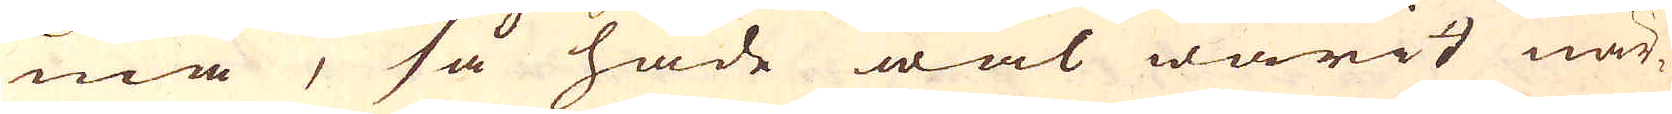ma, så hade wäl warit när-
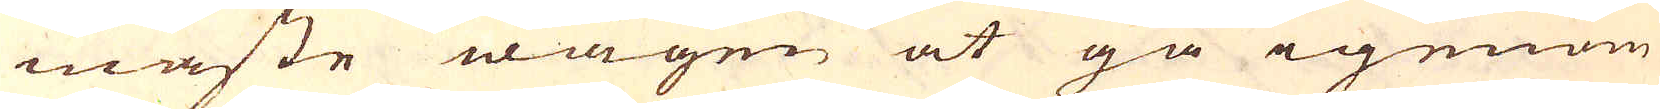måste wägen at gå igenom
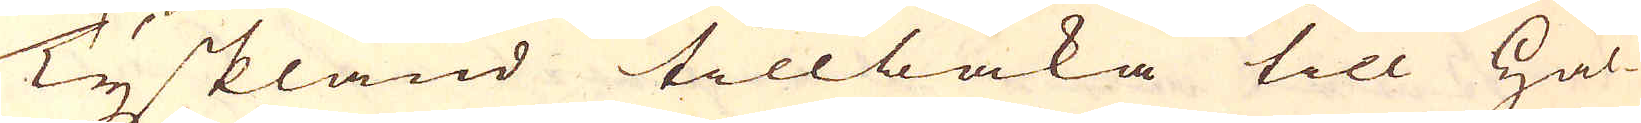Tyskland tillbaka till Hål-
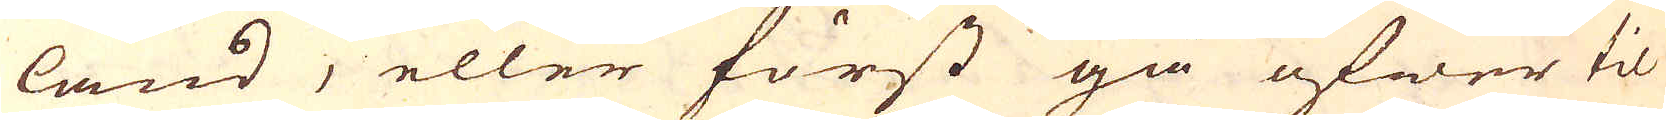land, eller först gå öfwer til
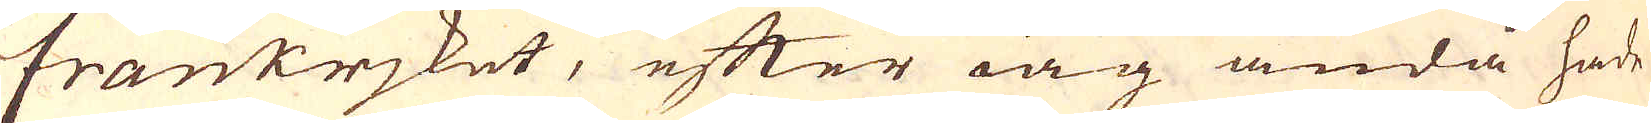frankrjket, efter iag ändå hade
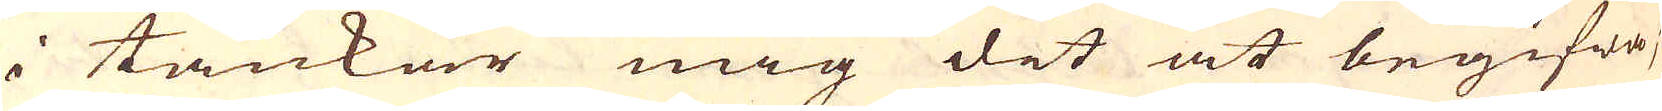i tankar mig det at begifwa;
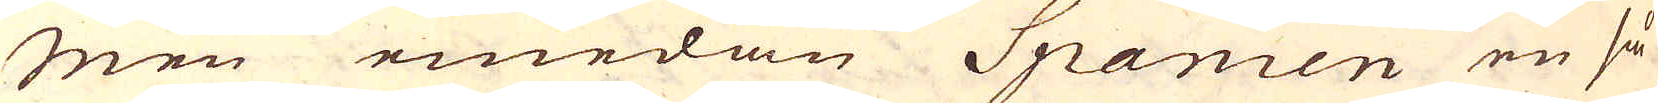Men emedan Spanien en så
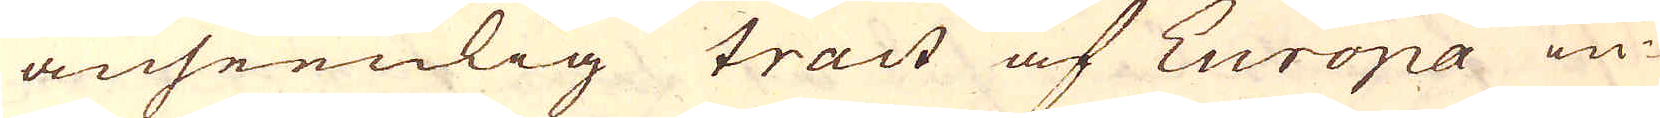anseenlig tract af Europa in-
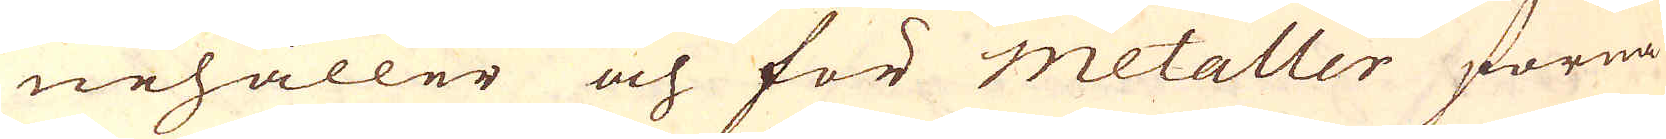nehåller och för metaller forna
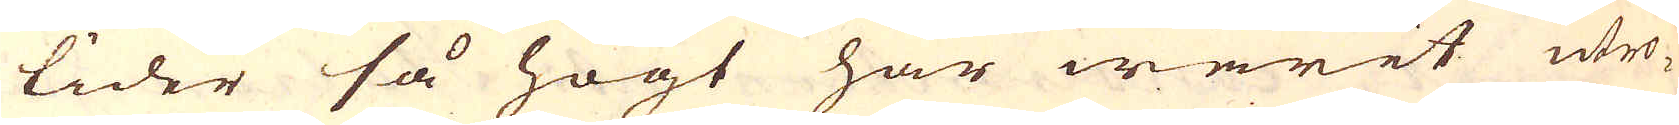tider så högt har warit utro-
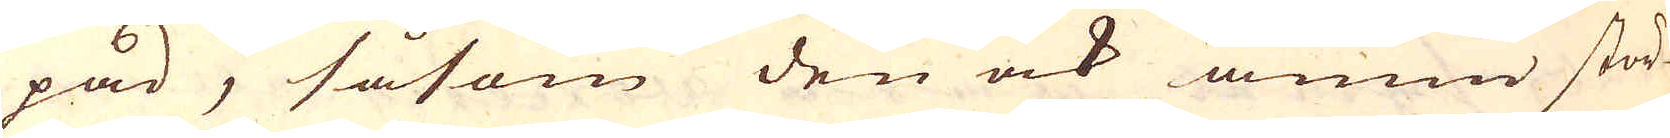pad, såsom den ock ännu stör-
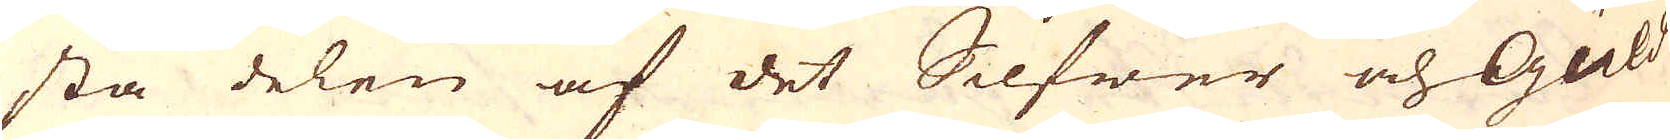sta delen af det Silfwer och Guld-
